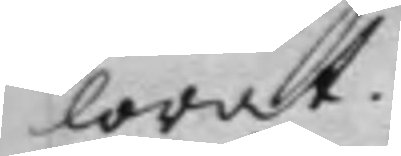lorat.
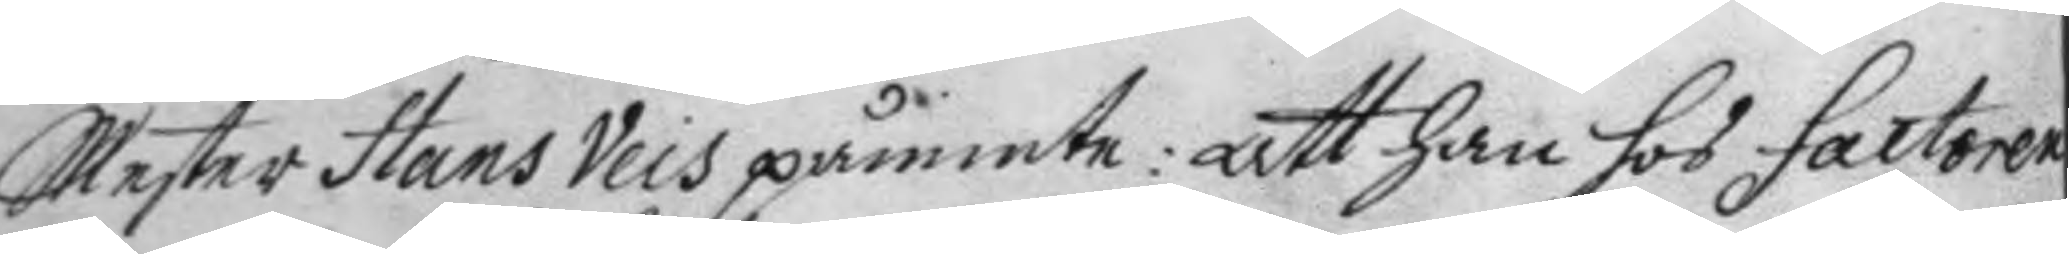Mester hans Veis påminte: att han hos factoren
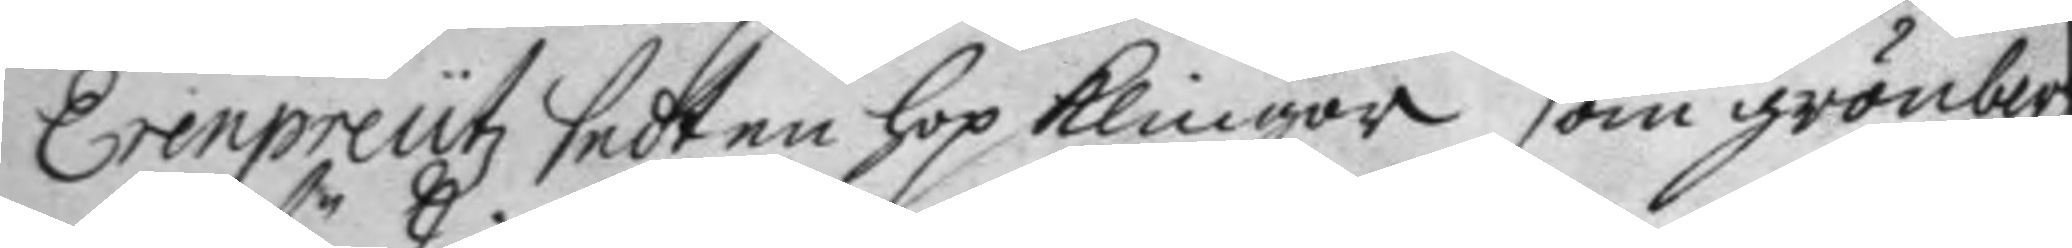Erenpreutz sedt en hop klingor som grönberg
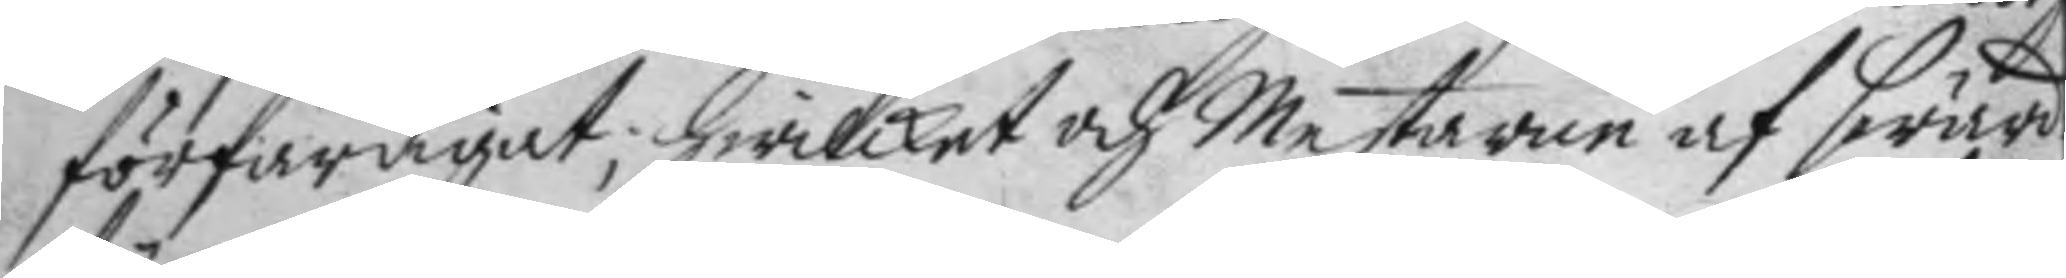förfärdigat; hwilket och Mestaren af swär¬
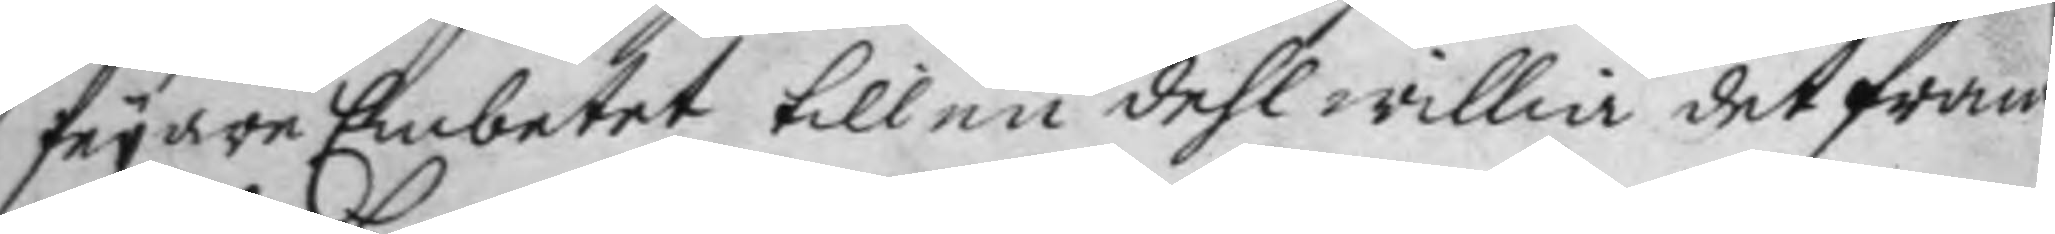feyare Embetet till en dehl willia det fram¬
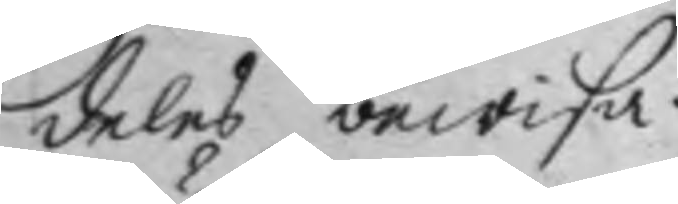deles bewisa.
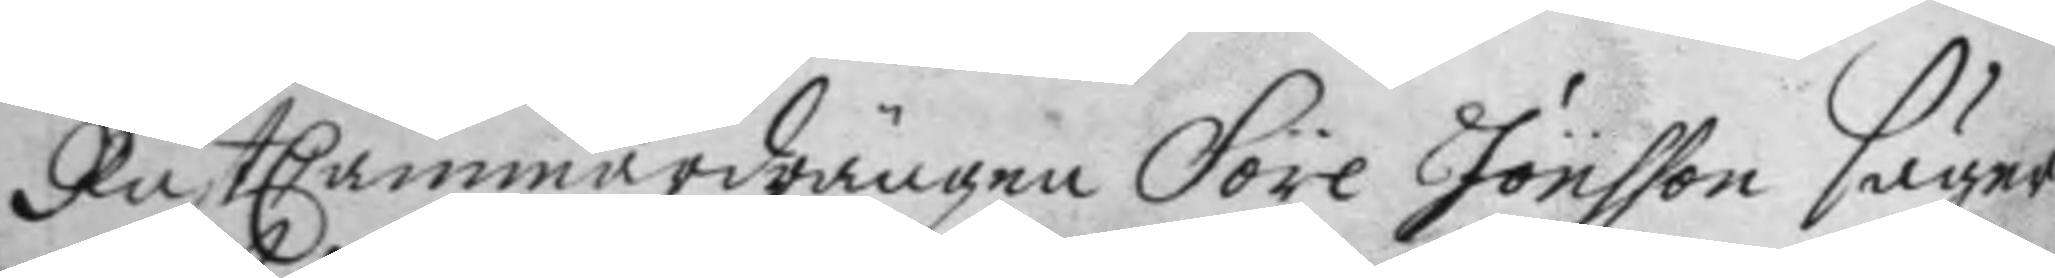RustCammardrängen Söre Jönsson säyer
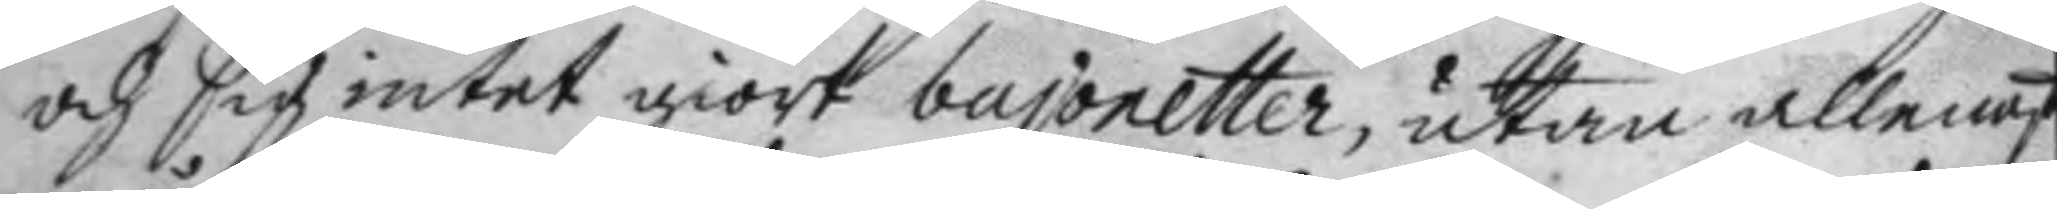och sig intet giort bajonetter, utan allenast
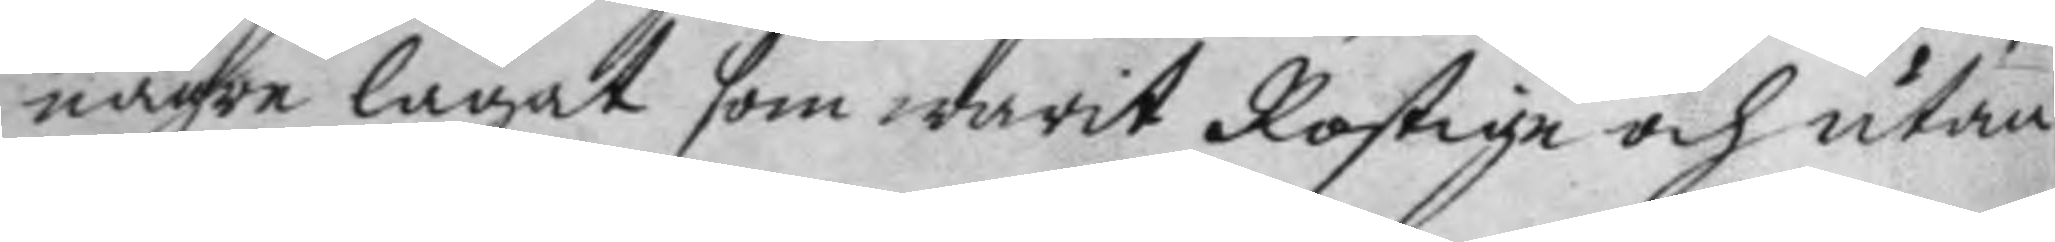några lagat som warit Rostiga och utan
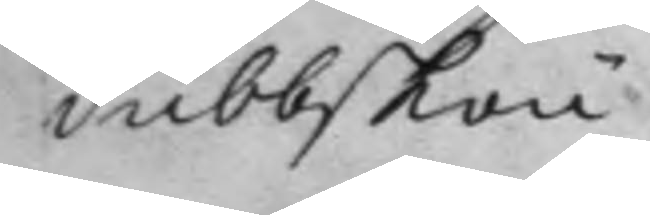dubbskou.
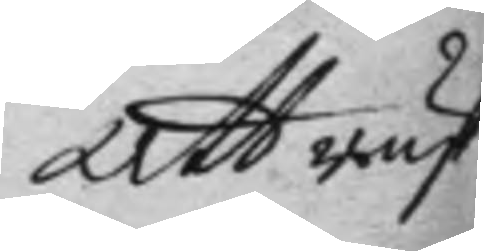Att rust¬
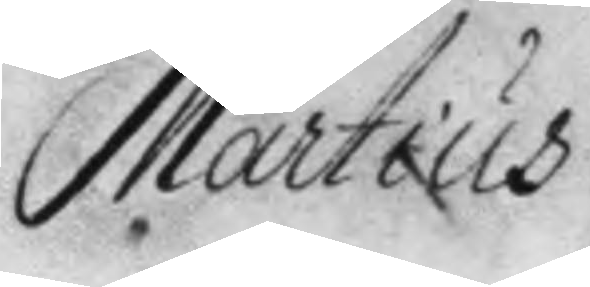Martius
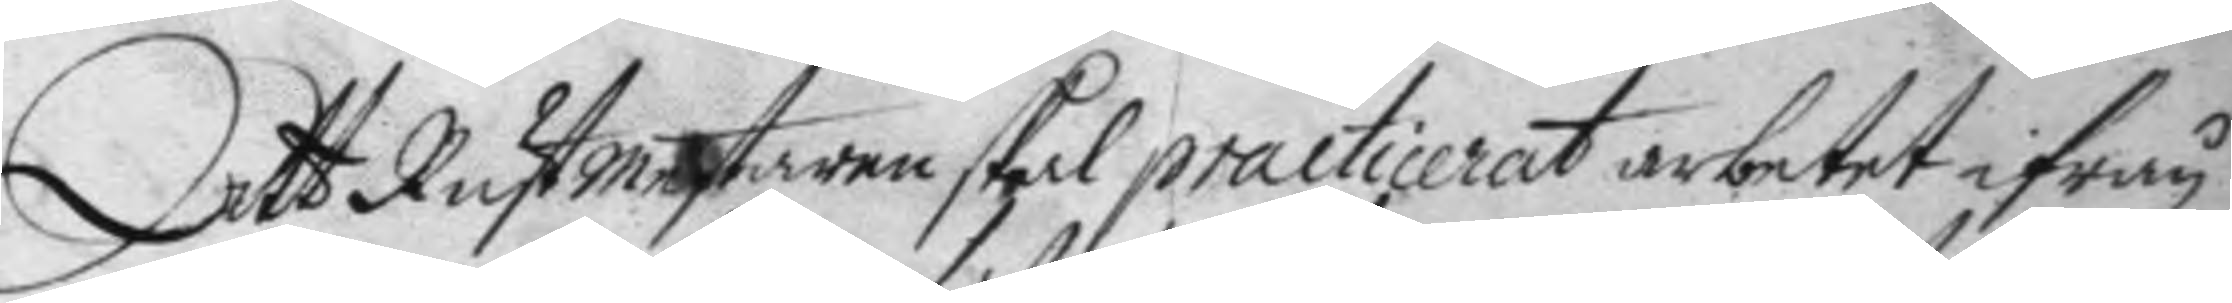Att Rustmestaren skal practicerat arbetet ifrån
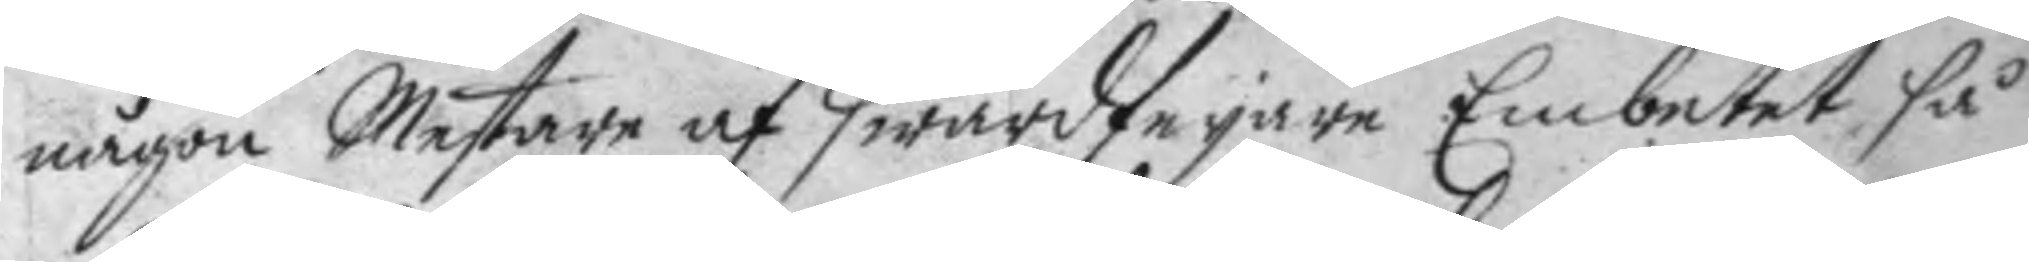någon Mestare af swärdfeyare Embetet så 
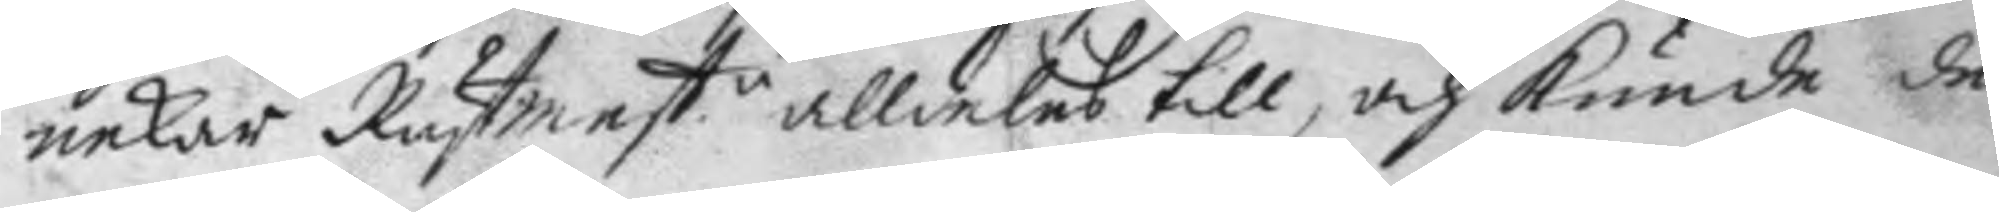nekar Rustmest.n alldeles till, och kunde de
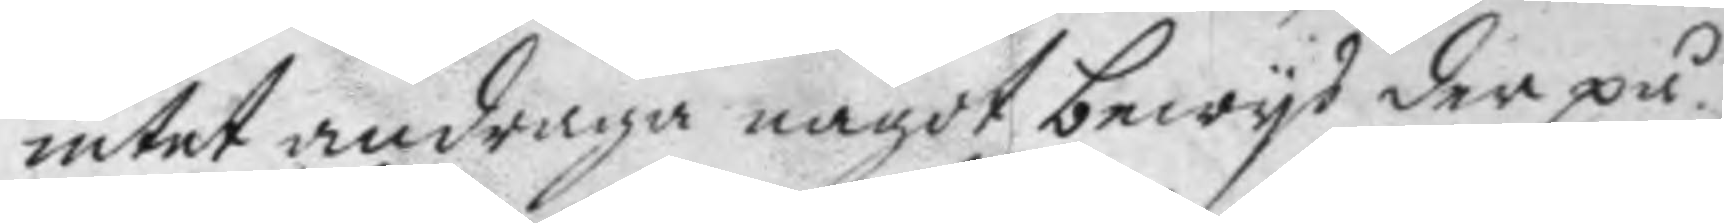intet andraga något bewys der på.
